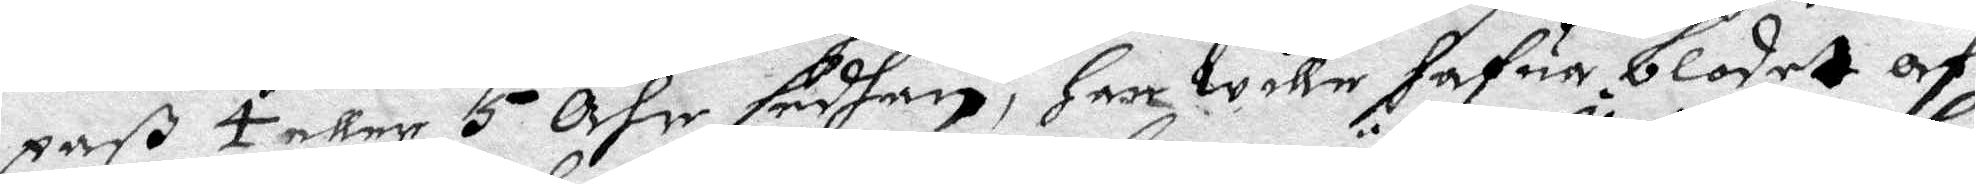paß 4 eller 5 Åhr sedhan, Han wille hafua blodet af
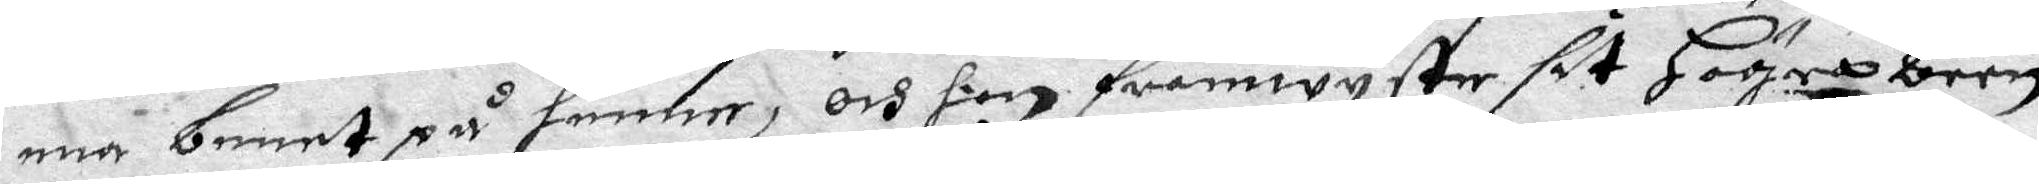ena benet på henne, och hon framwyste sit Högra been
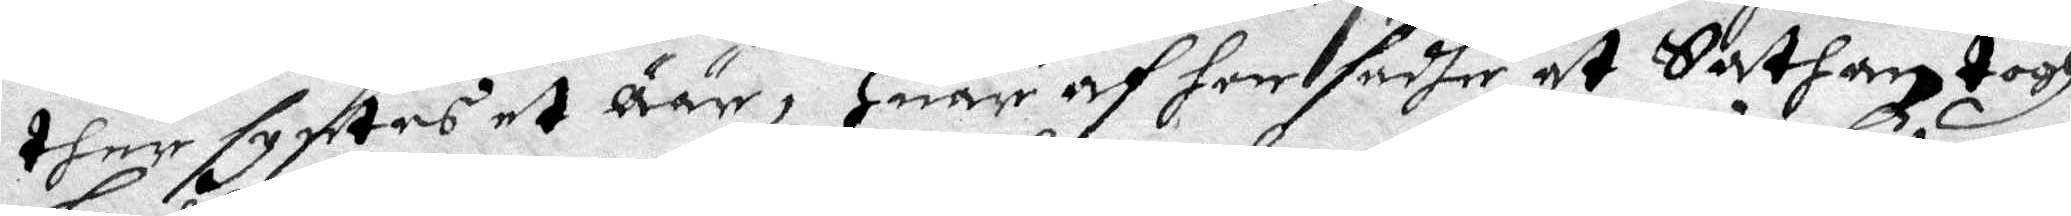ther syntes et Äär, Huaraf hon sadhe at Sathan togh
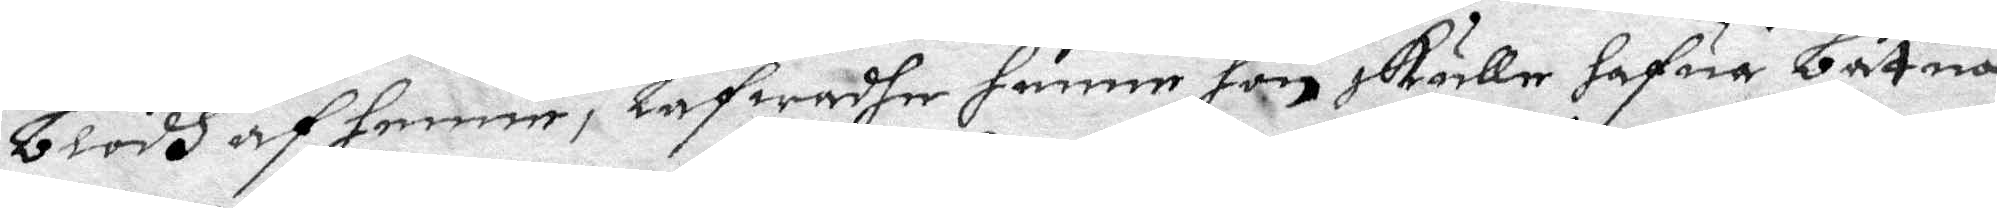blodh af henne, Låfwadhe henne hon skulle hafua båtna
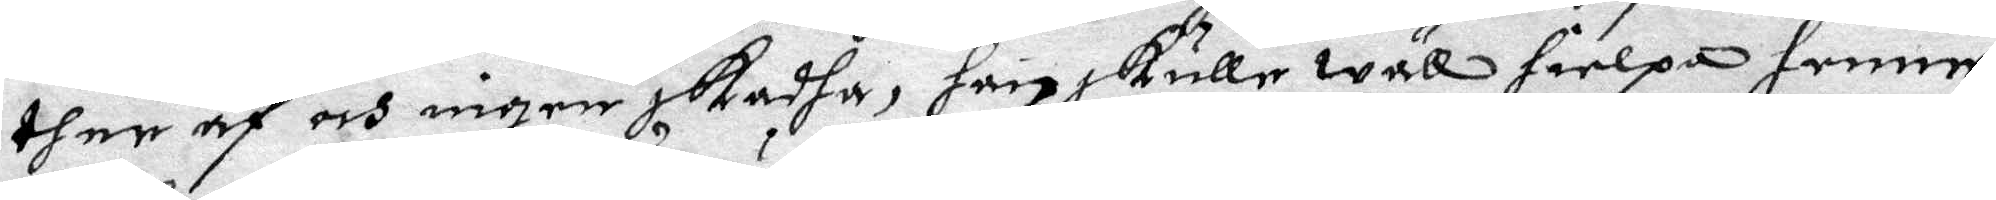ther af och ingen skadha, han skulle wäll hielpa henne,
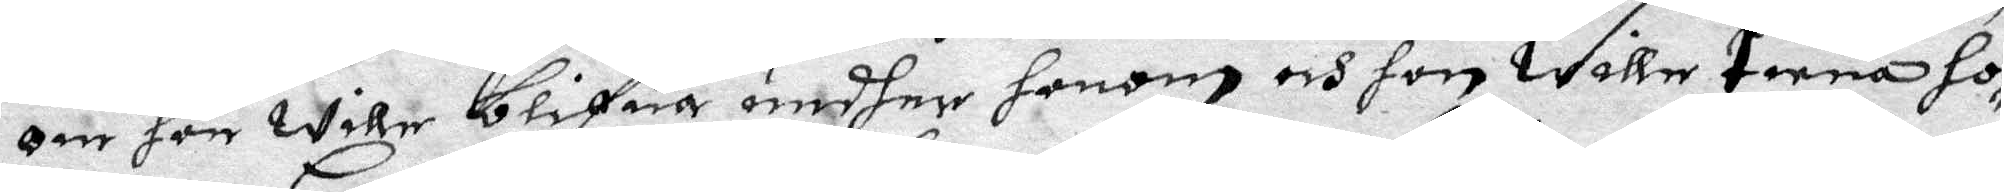om hon wille blifua undher honom och hon wille tiena ho¬
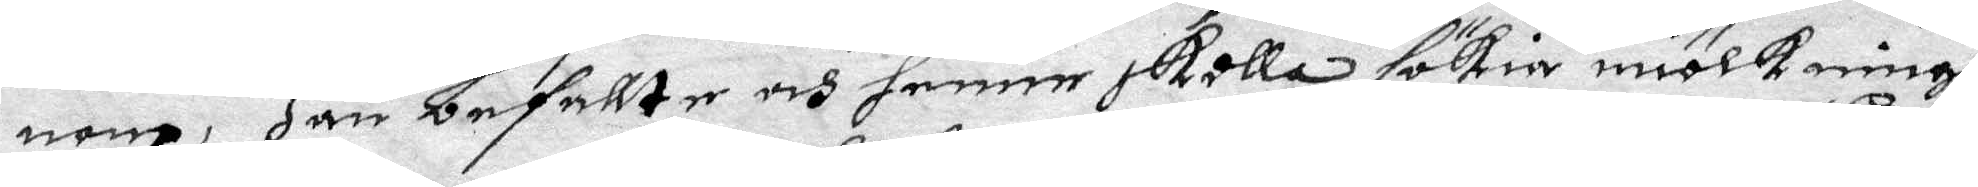nom, Han befallte och henne skolla sökia miölkningh
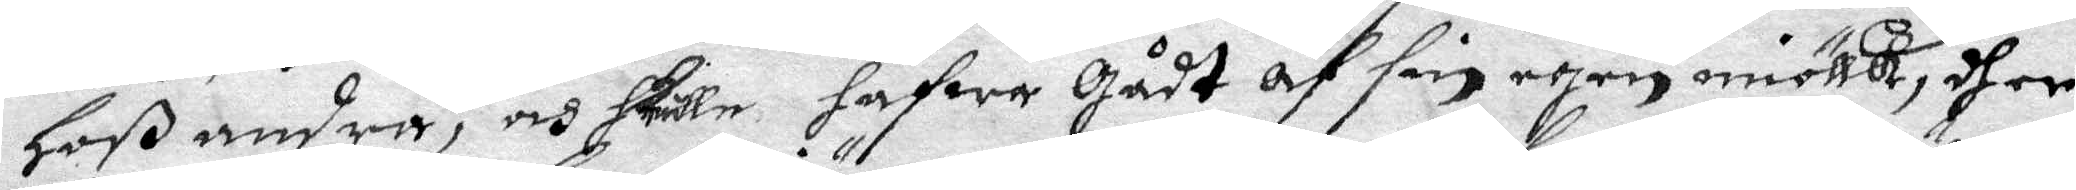Hoß andra, och skulle hafwa gådt af sin egen miölk, dher
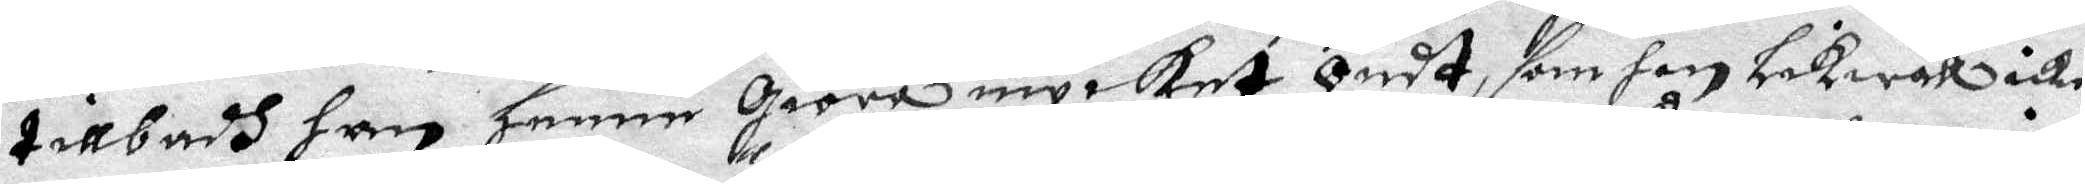tillbadh han henne giöra mycket Ondt, som hon Likwäll icke
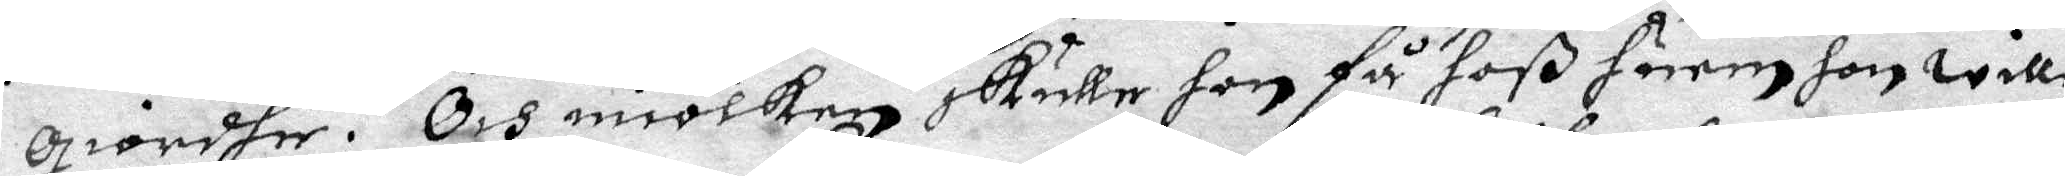giordhe. Och miölken skulle hon få hoß huem hon wille
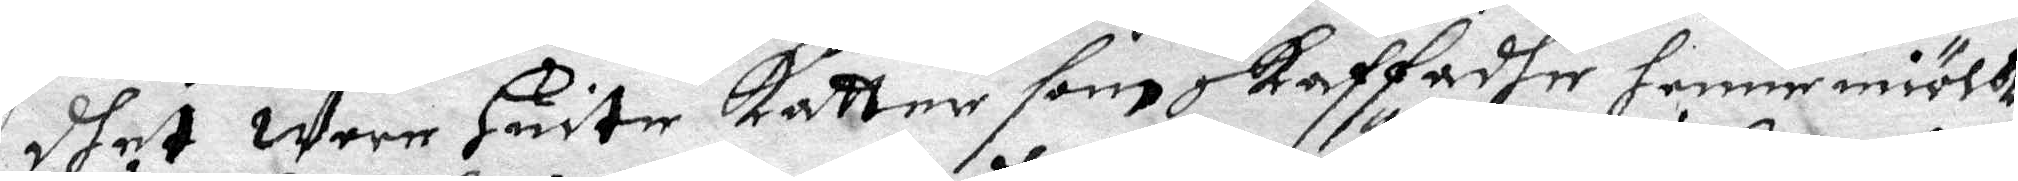dhet wore Huite katter som skaffadhe henne miölk,
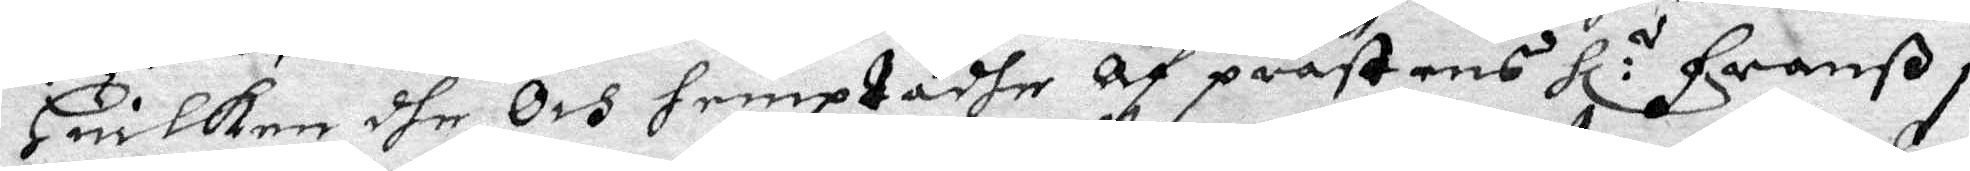Huilken dhe Och hemptadhe Af prästens Hl:r Franß i
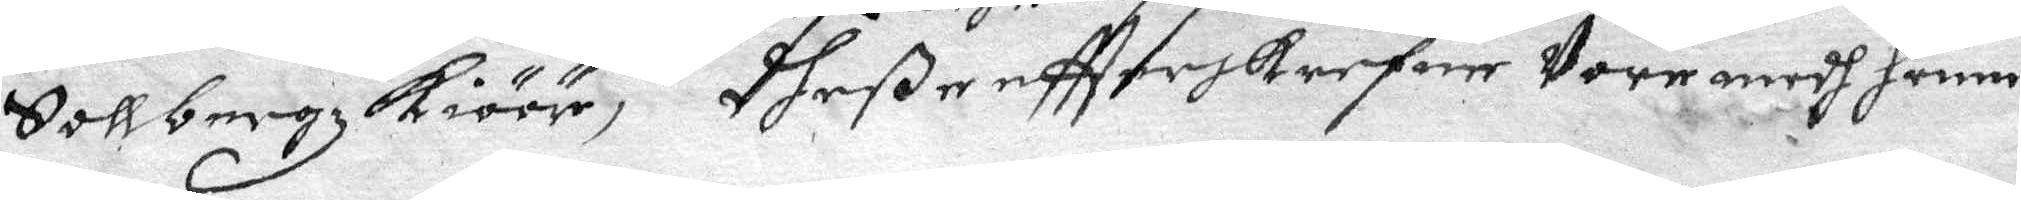Sollbergz kiöör, Dheße eftterskrefne Vore medh henne
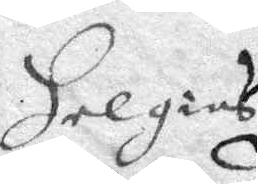Helgies
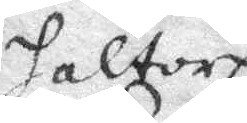Haltorp
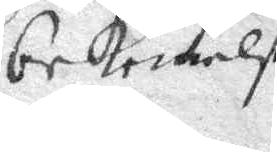bekennelse.
